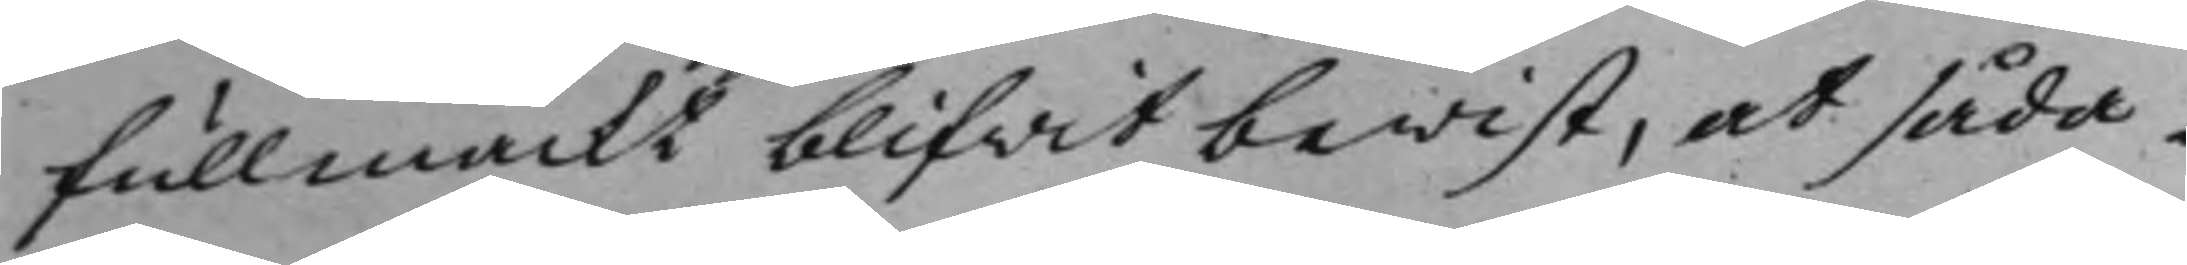fullmackt blifwit bewist, at såda¬
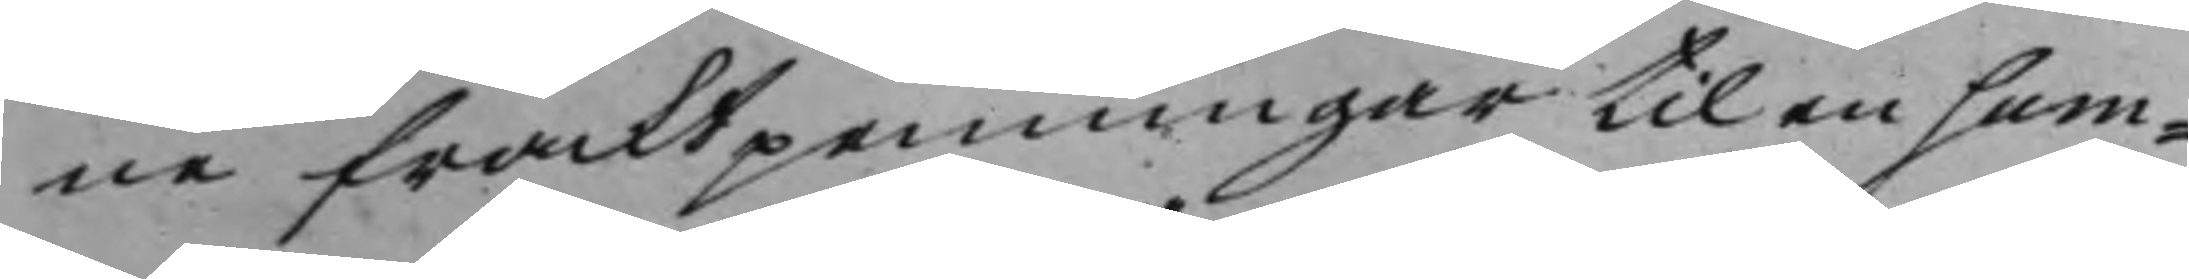ne fracktpenningar til en sum¬
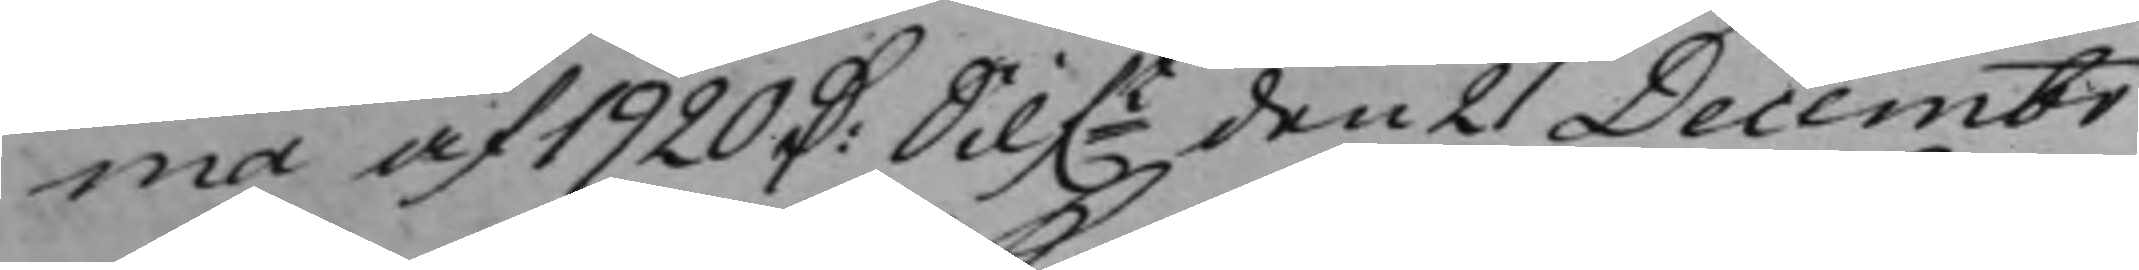ma af 1920 D: Silf.t den 21 Decembr 
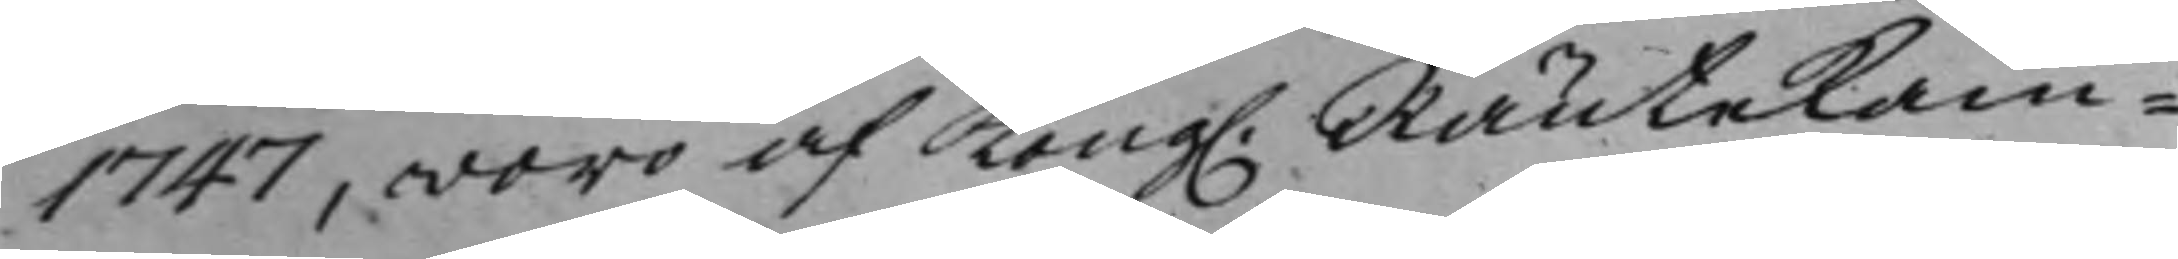1747, woro af Kong. Räntekam¬ 
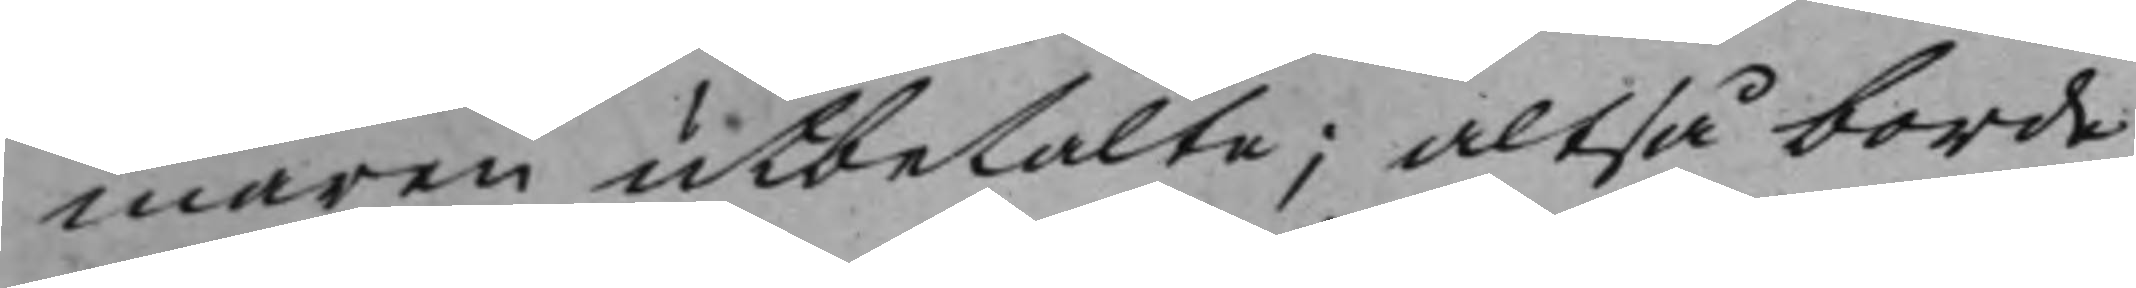maren utbetalte; altså borde
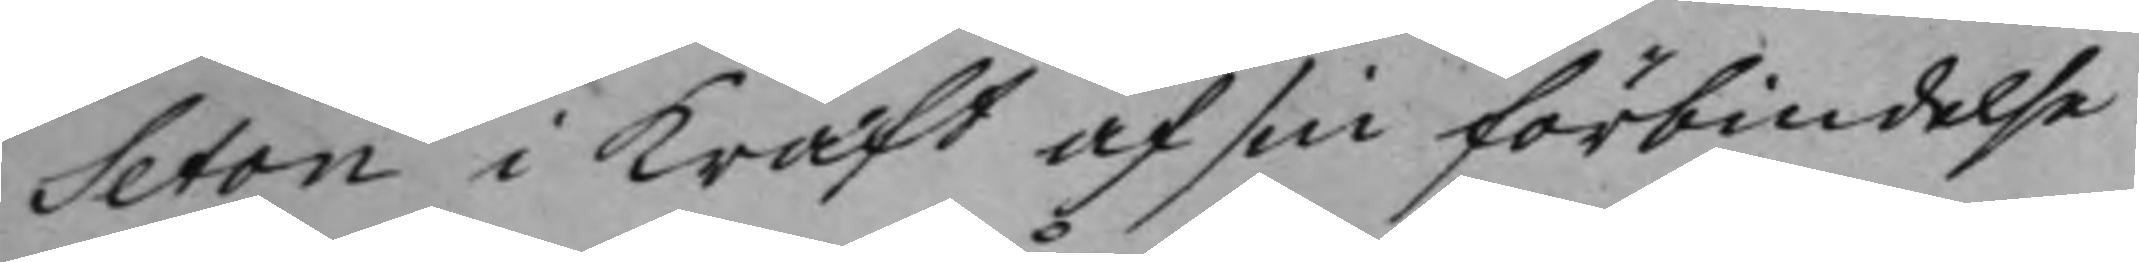Seton i kraft af sin förbindelse
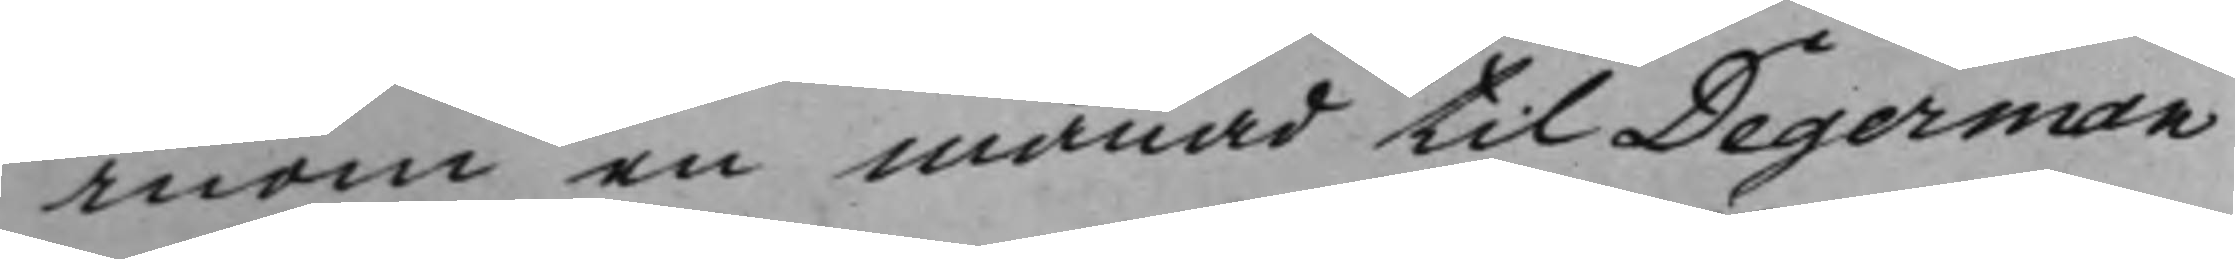inom en månad til Degerman
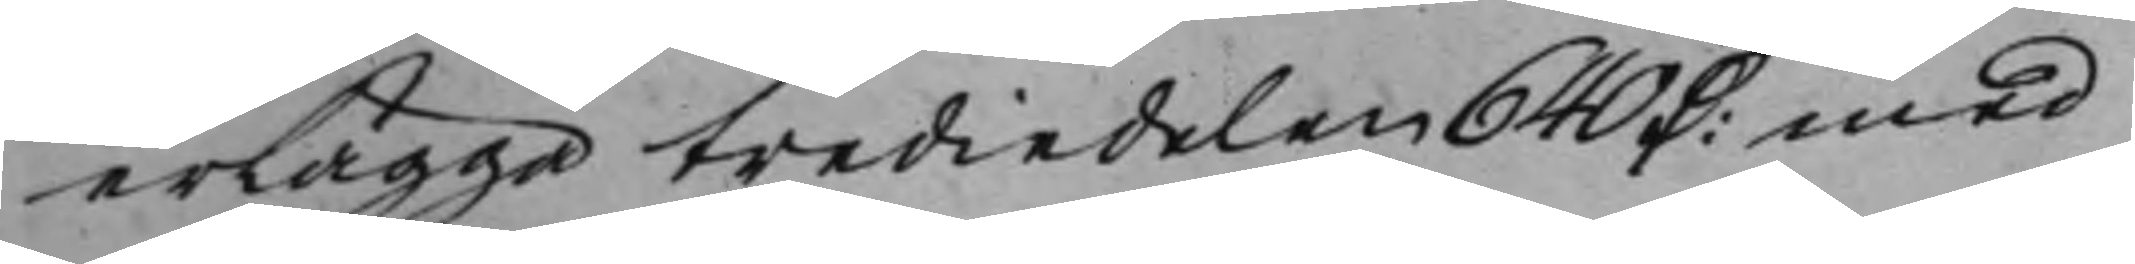erlägga trediedelen 640 D: med 
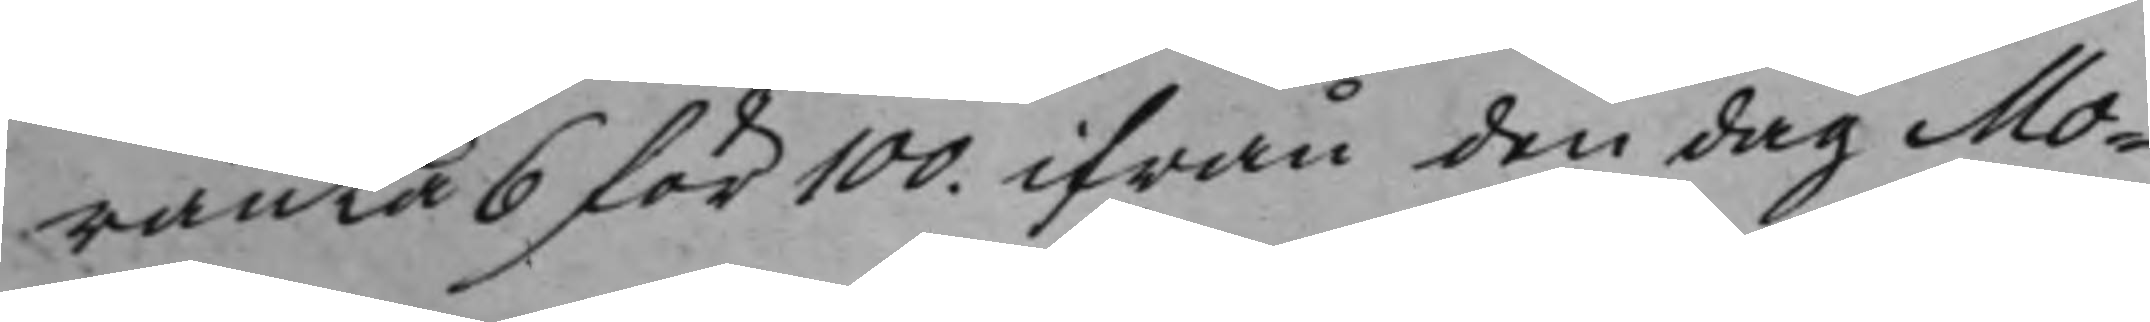ränta 6 för 100. ifrån den dag Mo¬
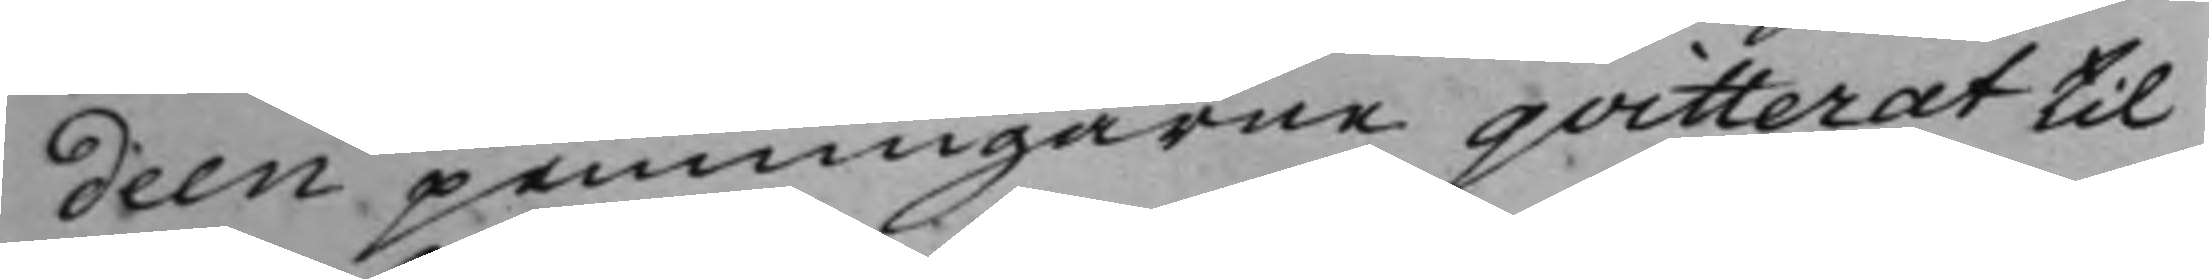deen penningarne qvitterat til
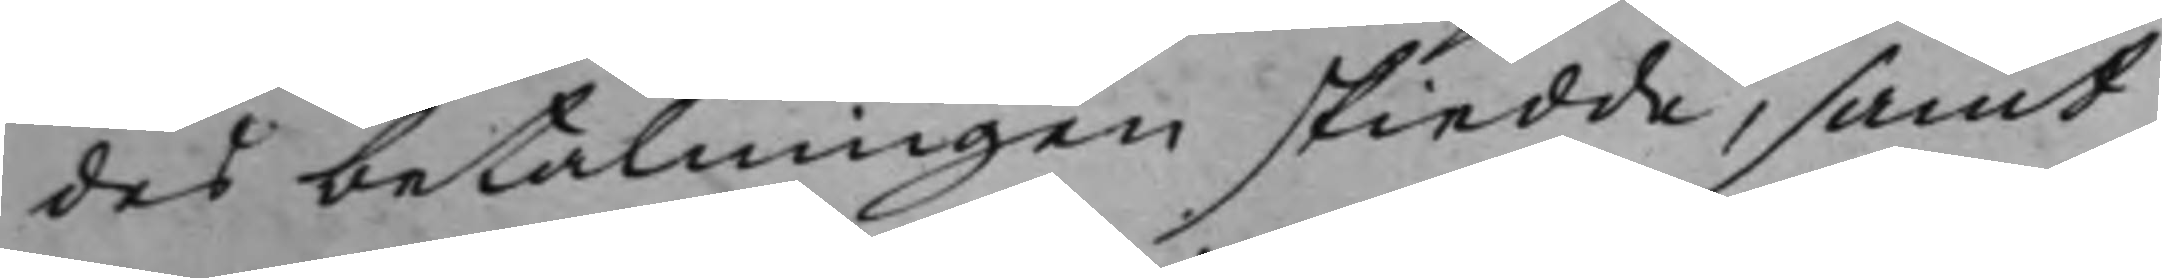des betalningen skiedde, samt
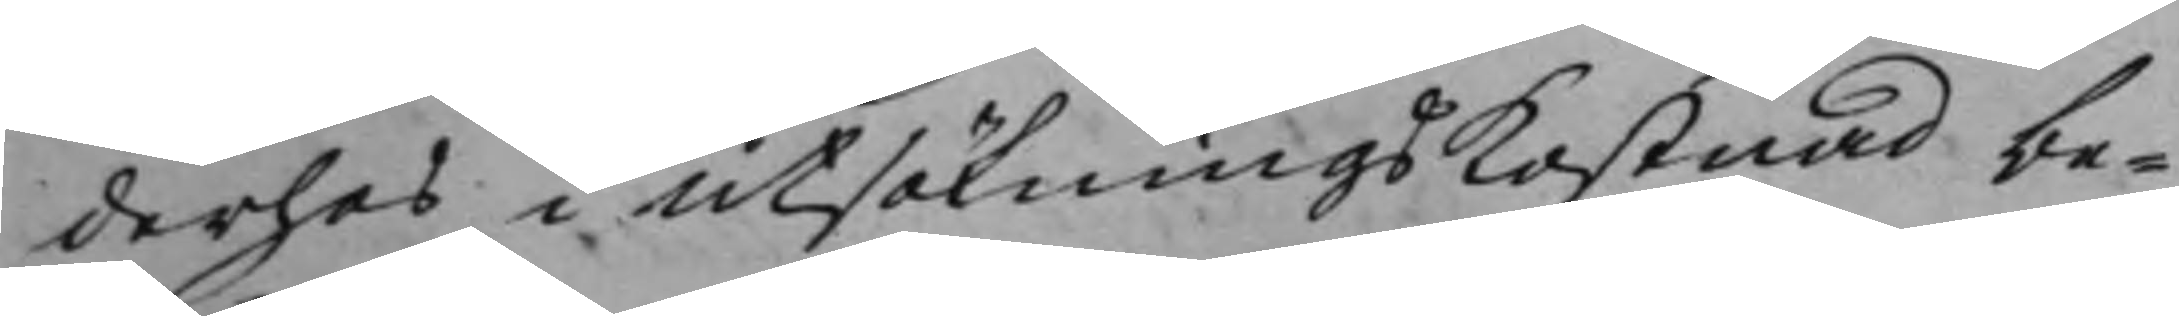derhos i utsökningskostnad be¬
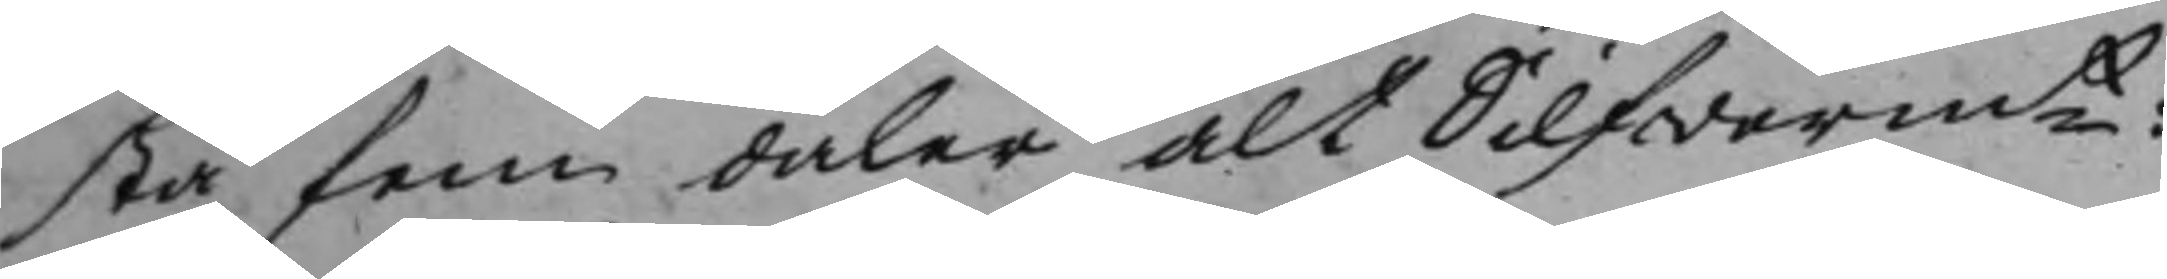stå fem daler alt Silfwermt: 
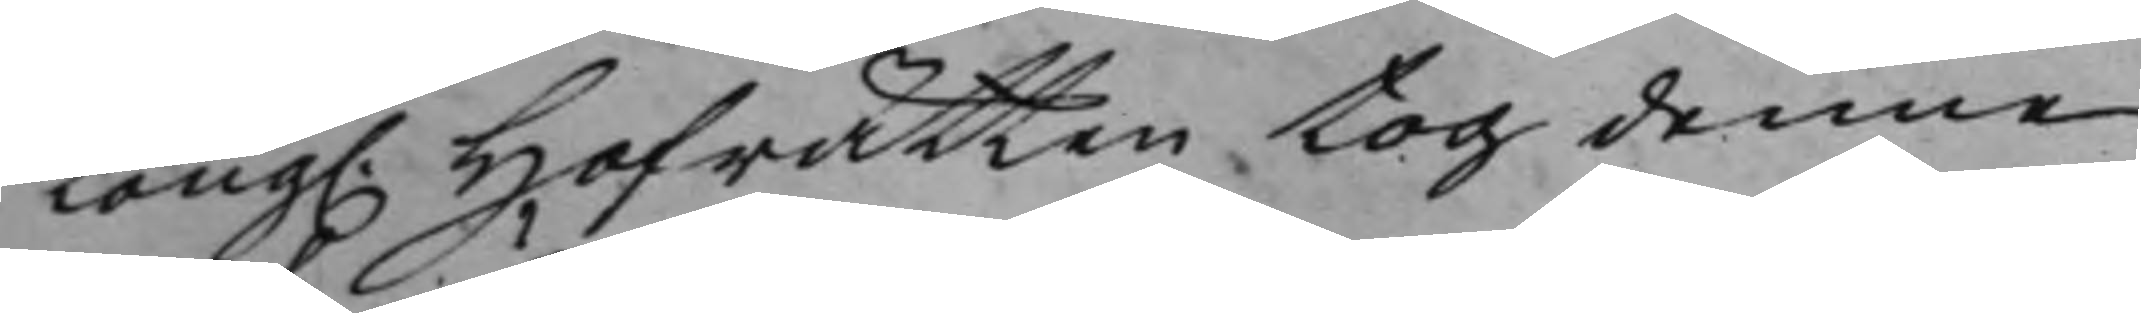Kong. Hofrätten tog denne 
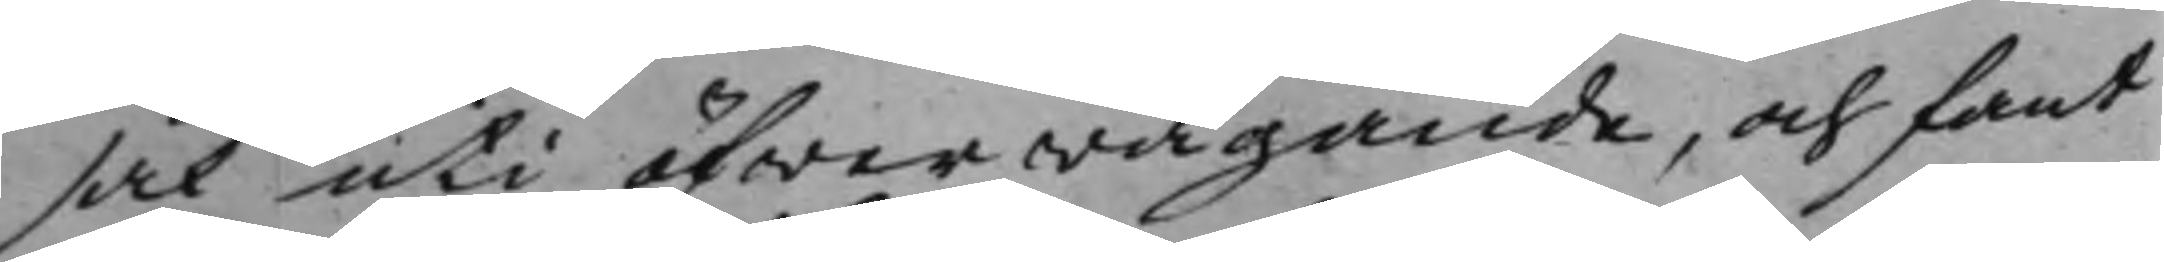sak uti öfwerwägande, och fant
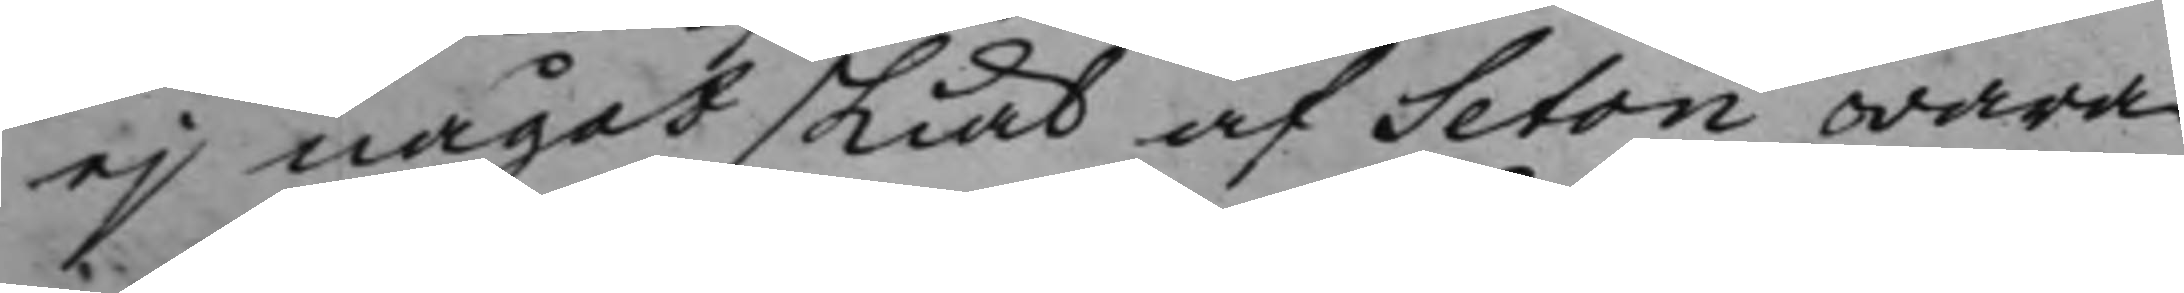ej något skiäl af Seton wara
